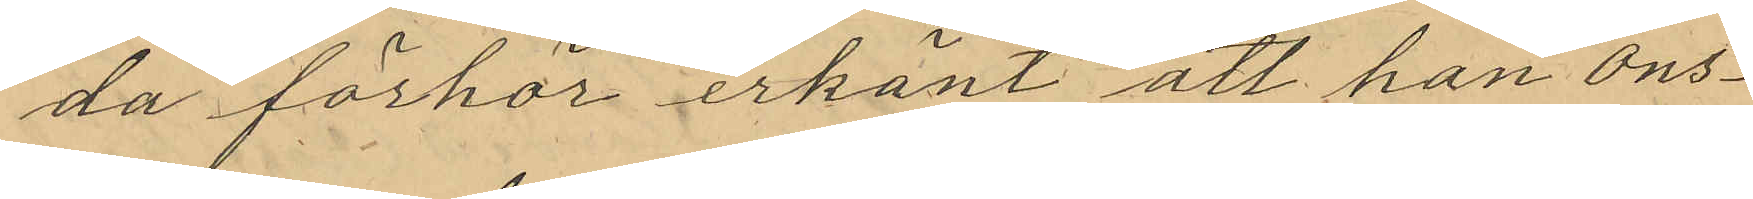da förhör erkänt att han ons¬
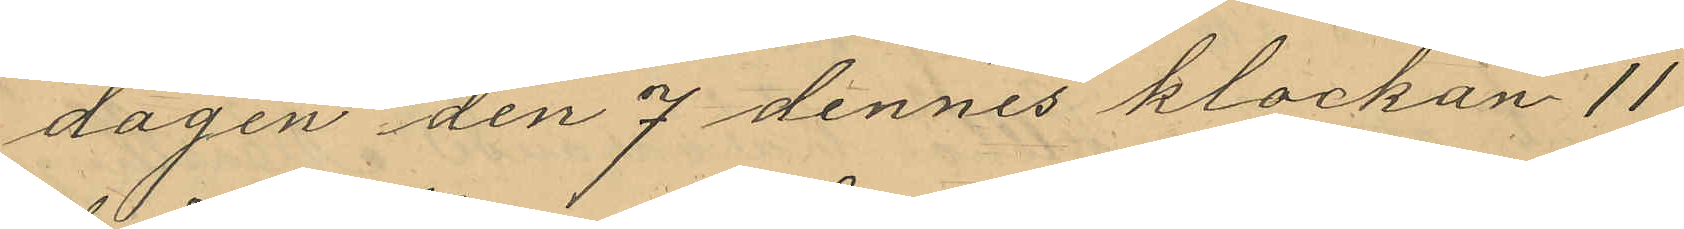dagen den 7 dennes klockan 11
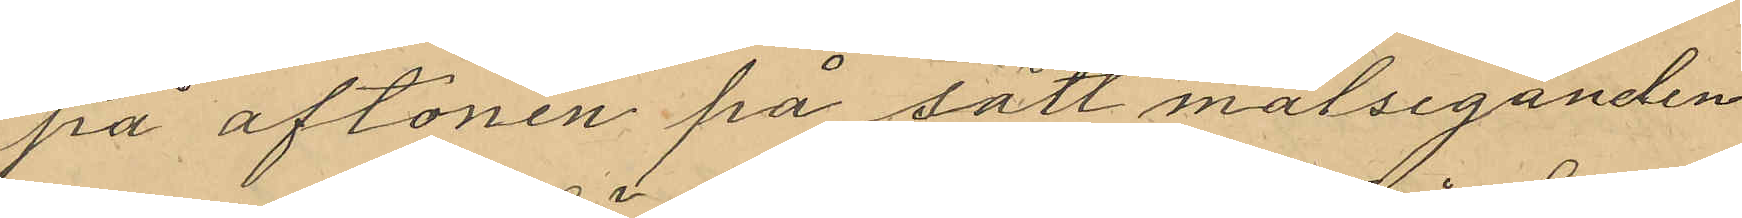på aftonen på sätt målseganden
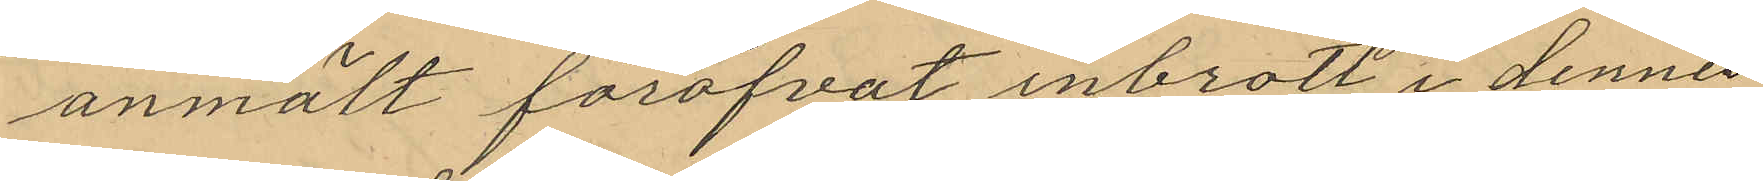anmält föröfvat inbrott i dennes
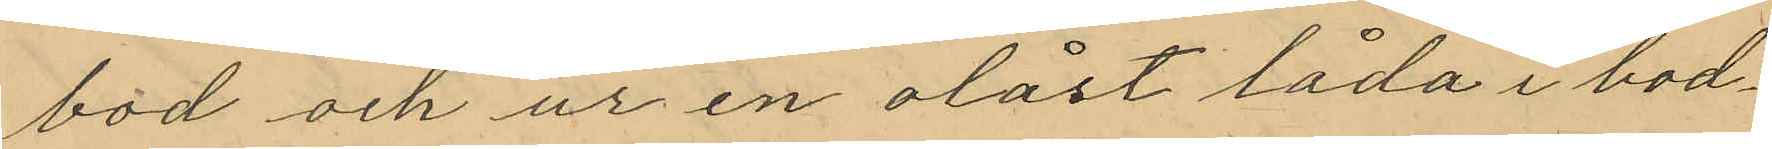bod och ur en olåst låda i bod¬
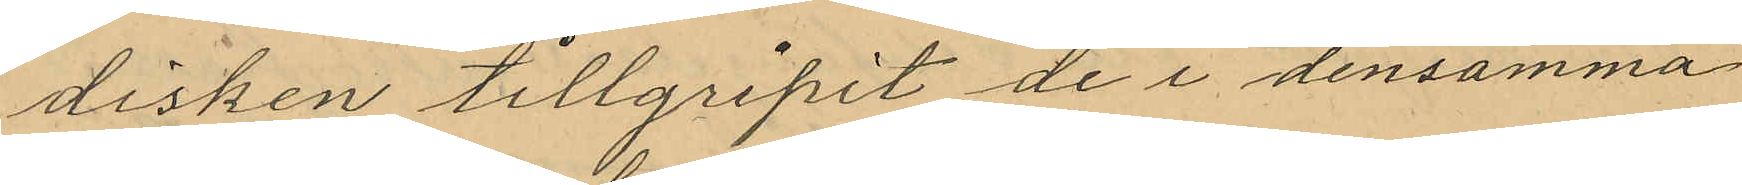disken tillgripit de i densamma
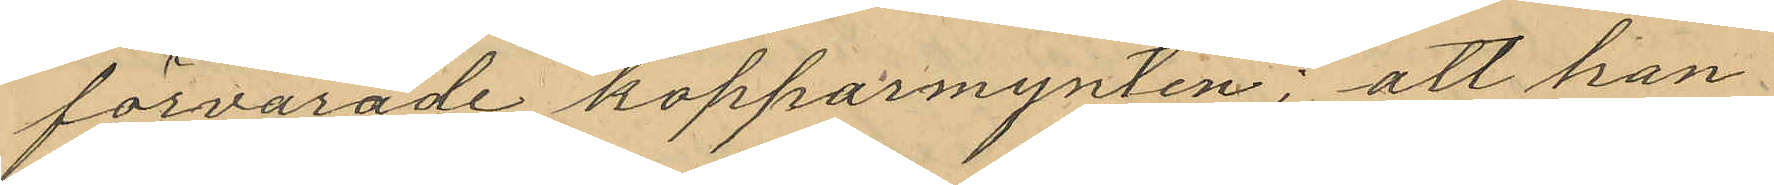förvarade kopparmynten; att han
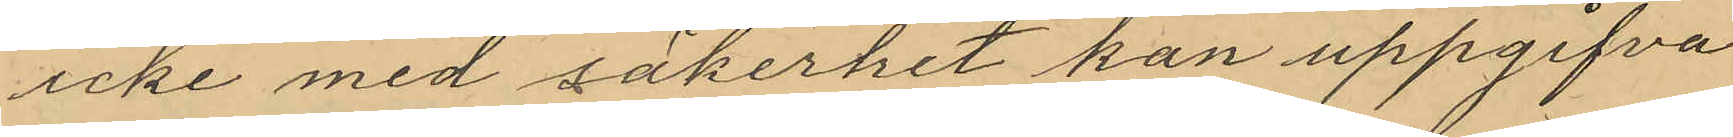icke med säkerhet kan uppgifva
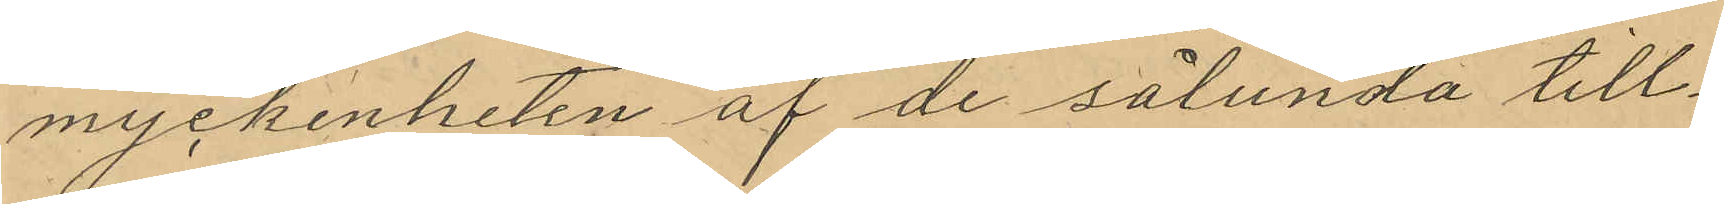myckenheten af de sålunda till¬
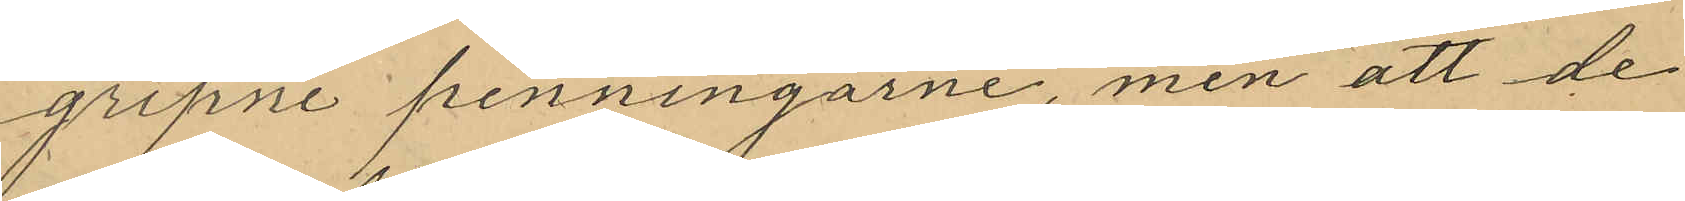gripne penningarne, men att de
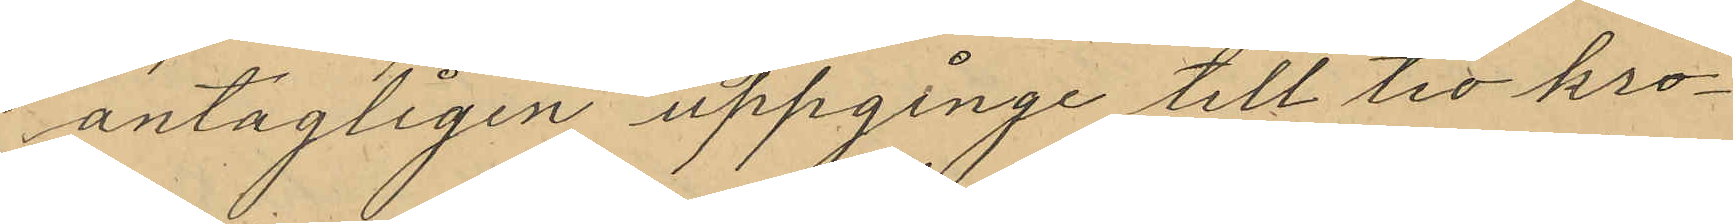antagligen uppginge till tio kro¬
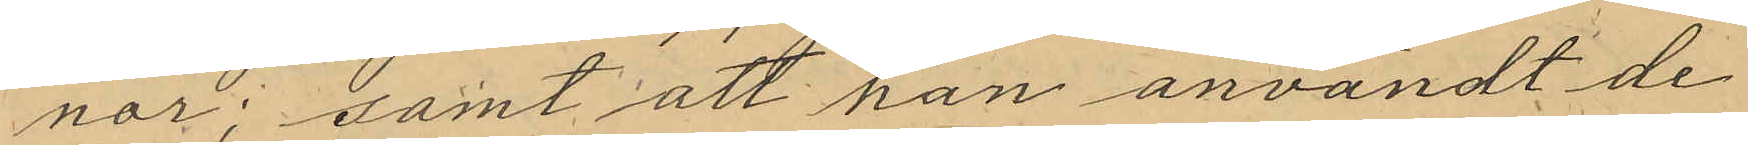nor; samt att han användt de
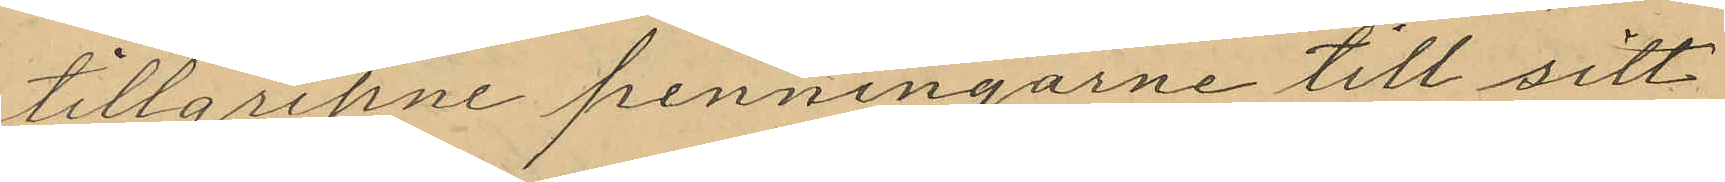tillgripne penningarne till sitt
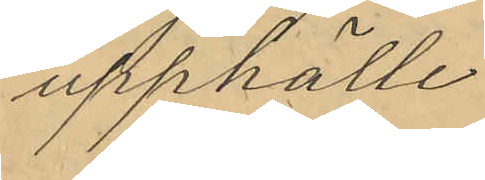upphälle
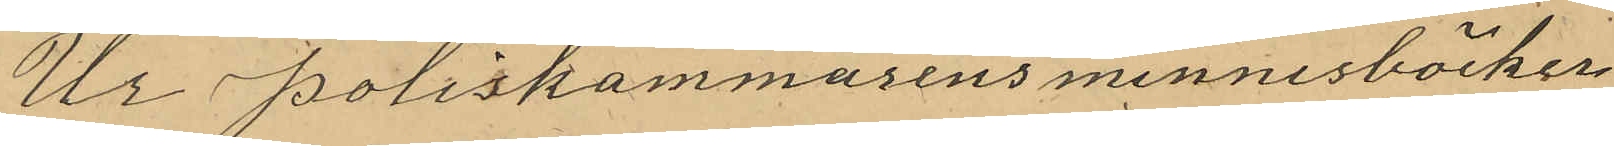Ur Poliskammarens minnesböcker
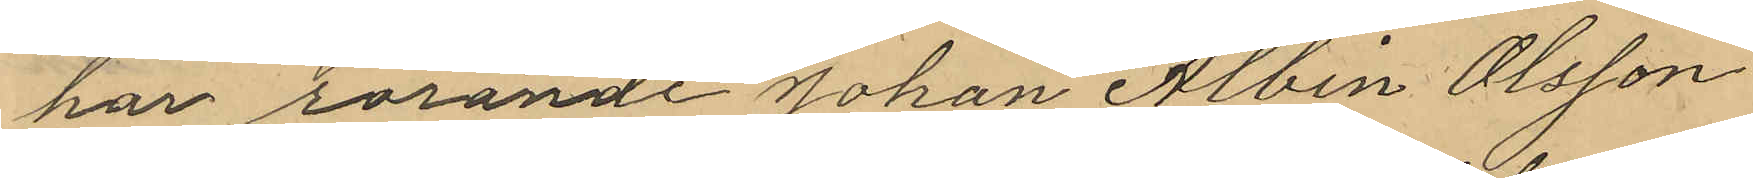har rörande Johan Albin Olsson
